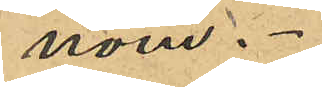nom.
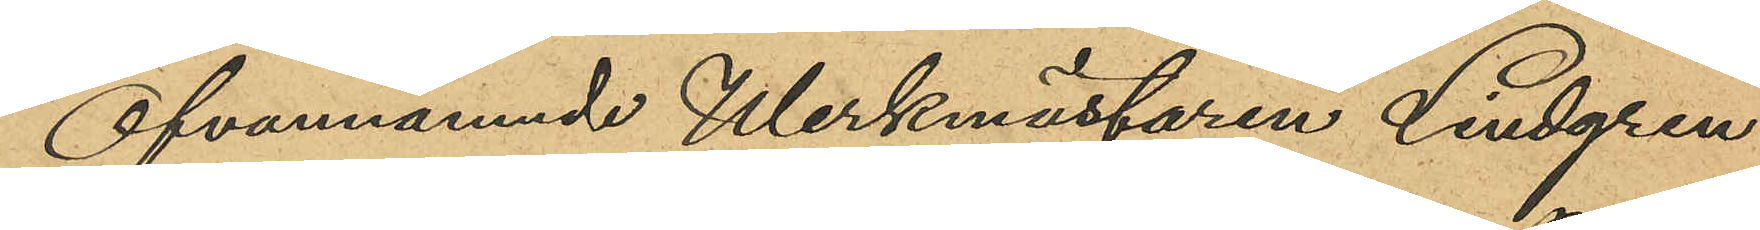Ofvannämnde Werkmästaren Lindgren
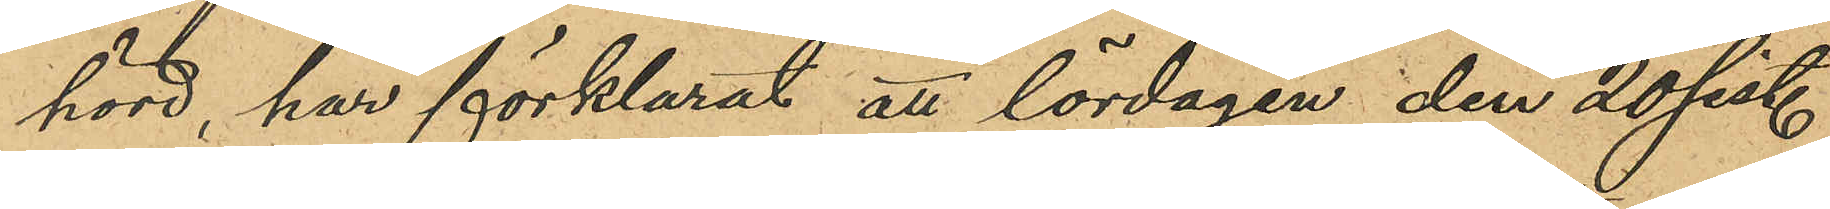hörd, har förklarat att lördagen den 20 sist.
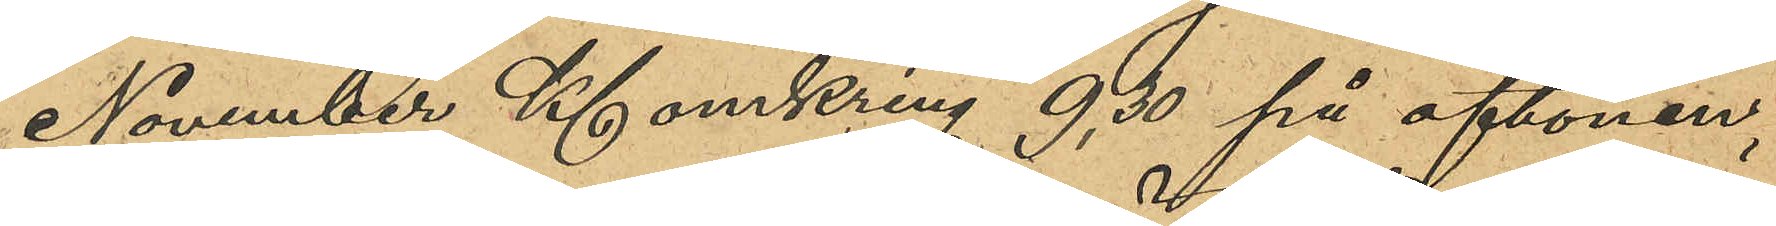November Kl omkring 9,30 på aftonen,
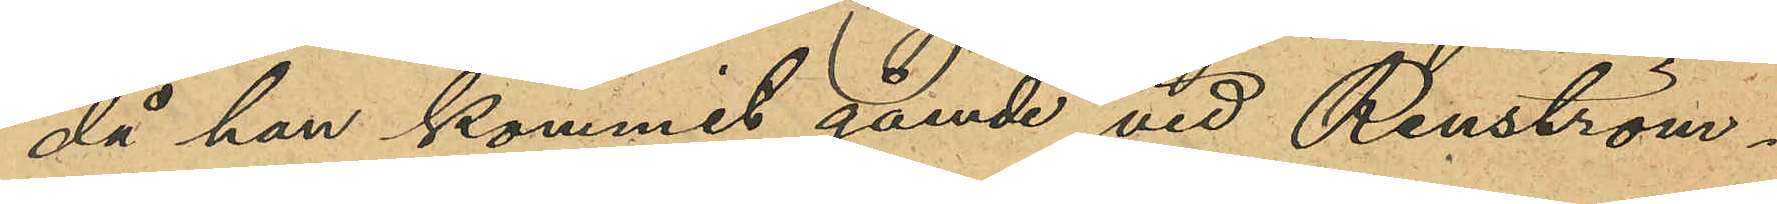då han kommit gående vid Renström¬
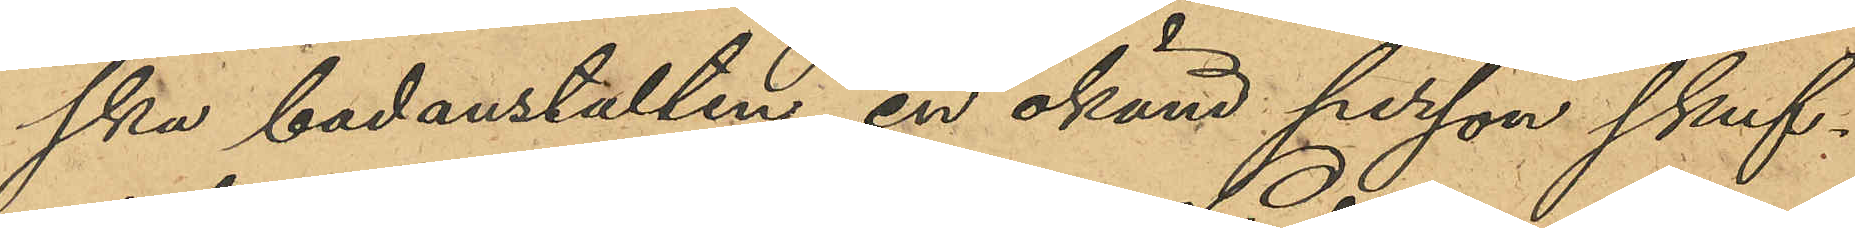ska badanstalten, en okänd person skuf¬
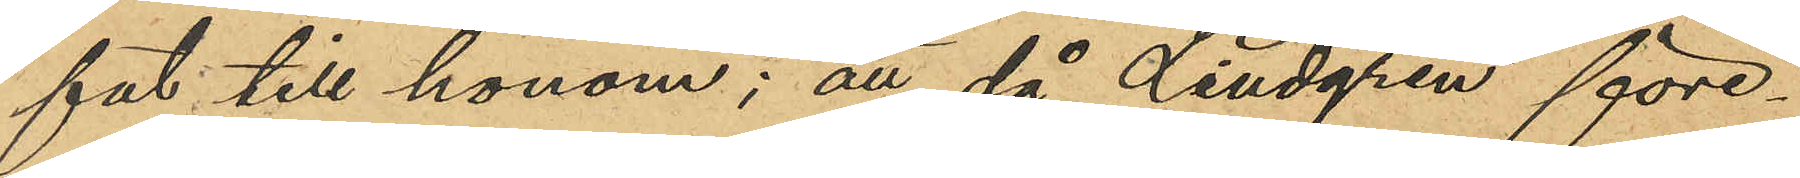fat till honom; att då Lindgren före¬
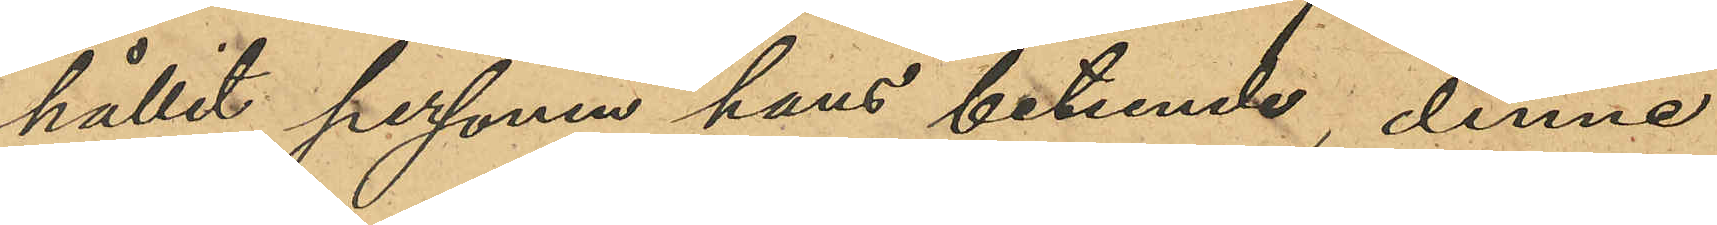hållit personen hans beteende, denne
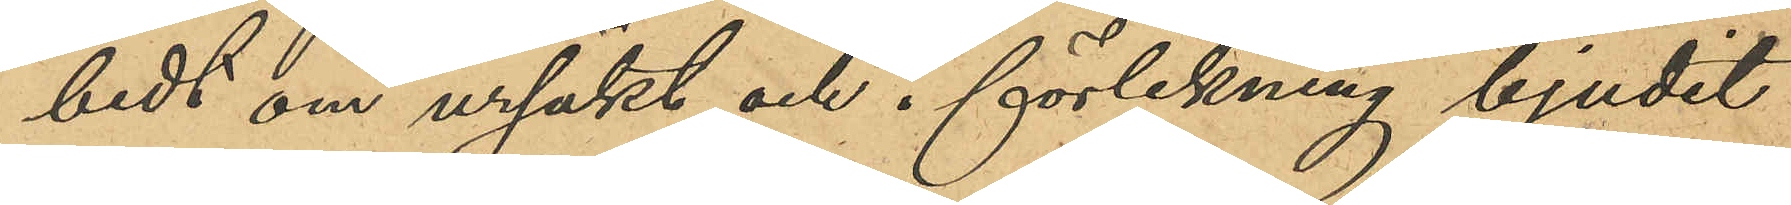bedt om ursäkt och i förlikning bjudit
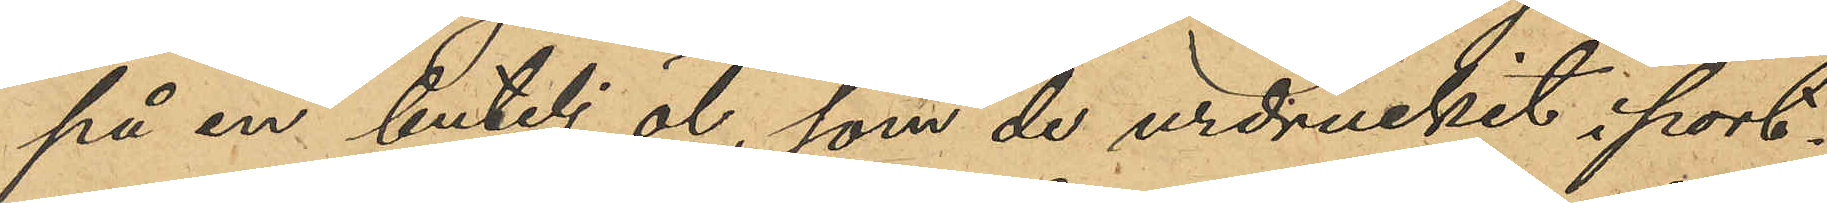på en butelj öl, som de urdruckit i port¬
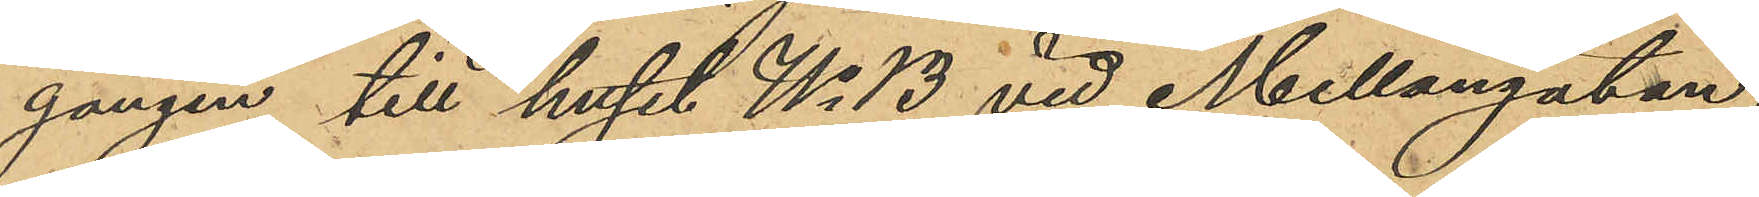gången till huset No 13 vid Mellangatan,
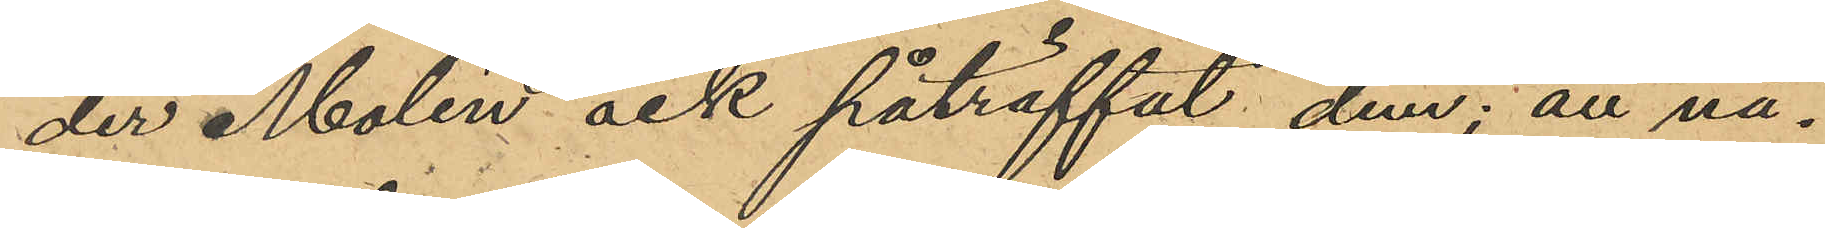der Molén ock påträffat dem; att nå¬
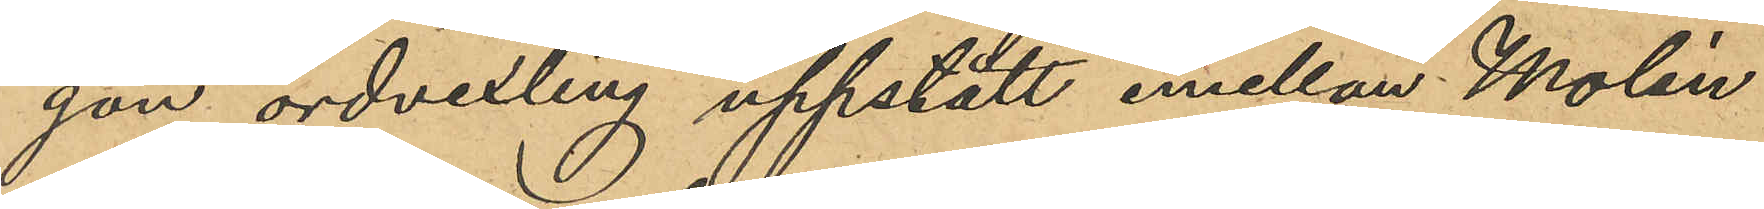gon ordvexling uppstått emellan Molén
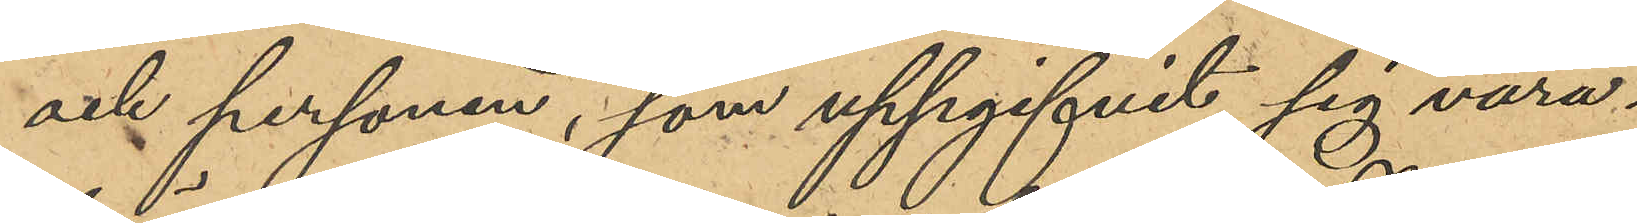och personen, som uppgifvit sig vara
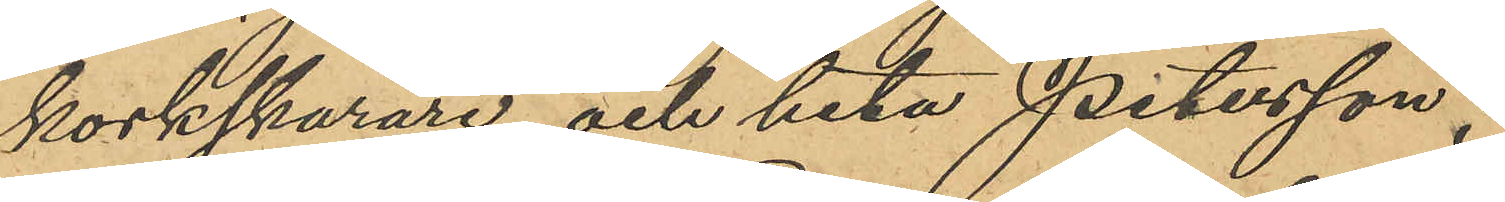korkskärare och heta Petersson;
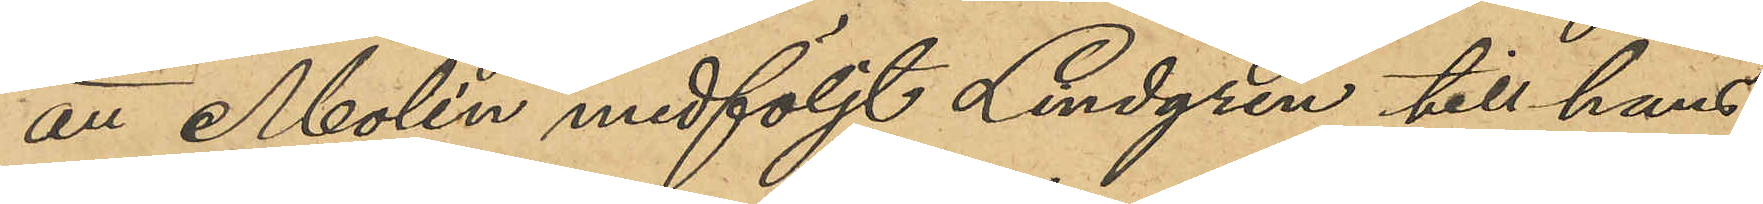att Molén medföljt Lindgren till hans
